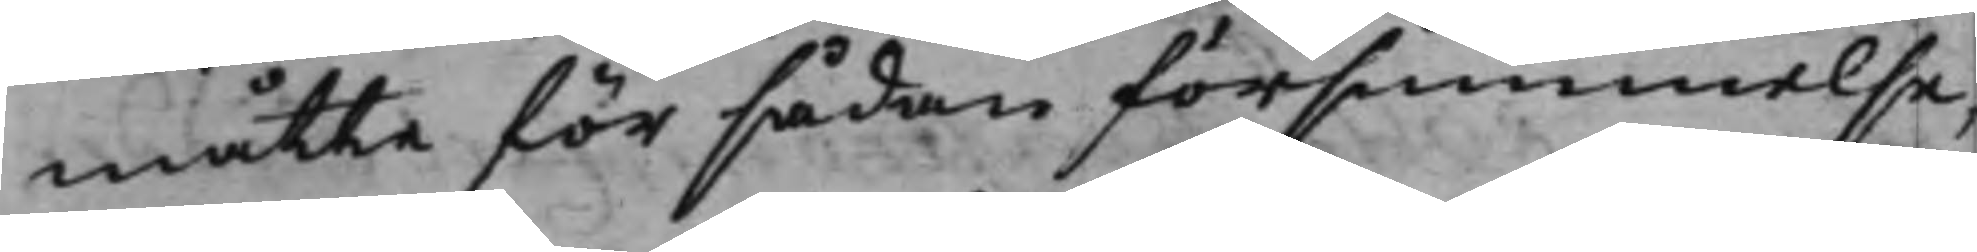måtte för sådan försummelse,
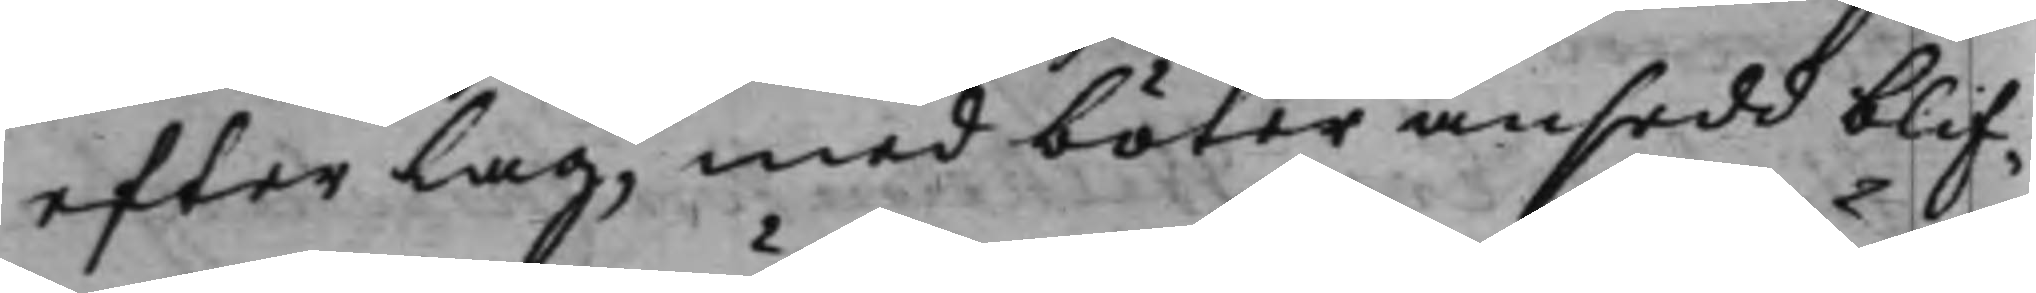efter lag, med böter ansedd blif¬
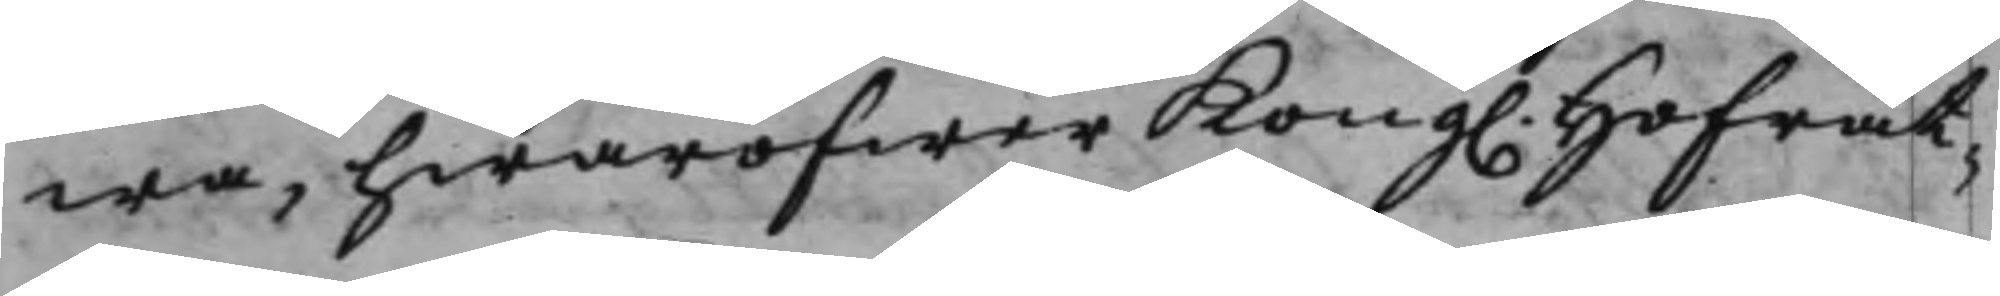wa, hwaröfwer Kong. Hofrät¬
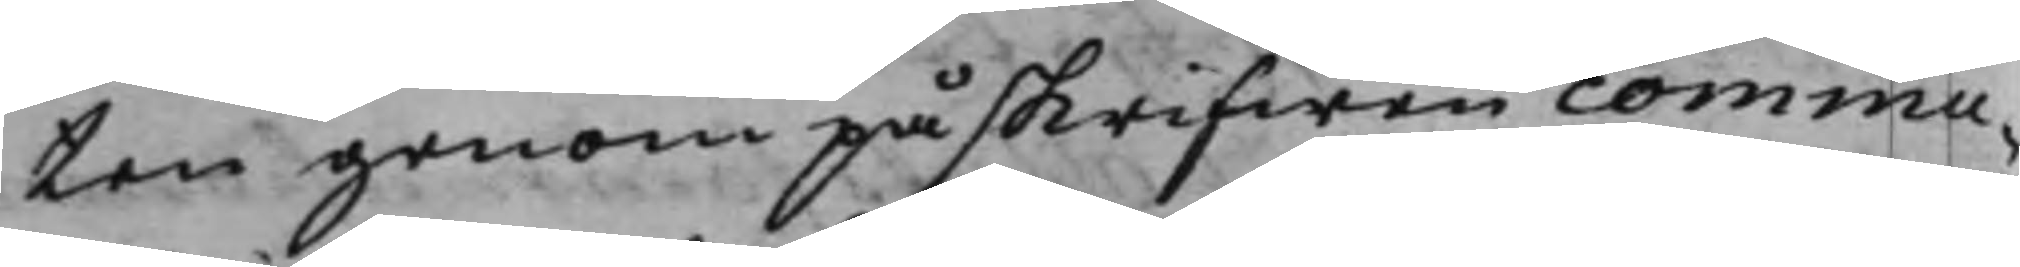ten genom påskrifwen commu¬
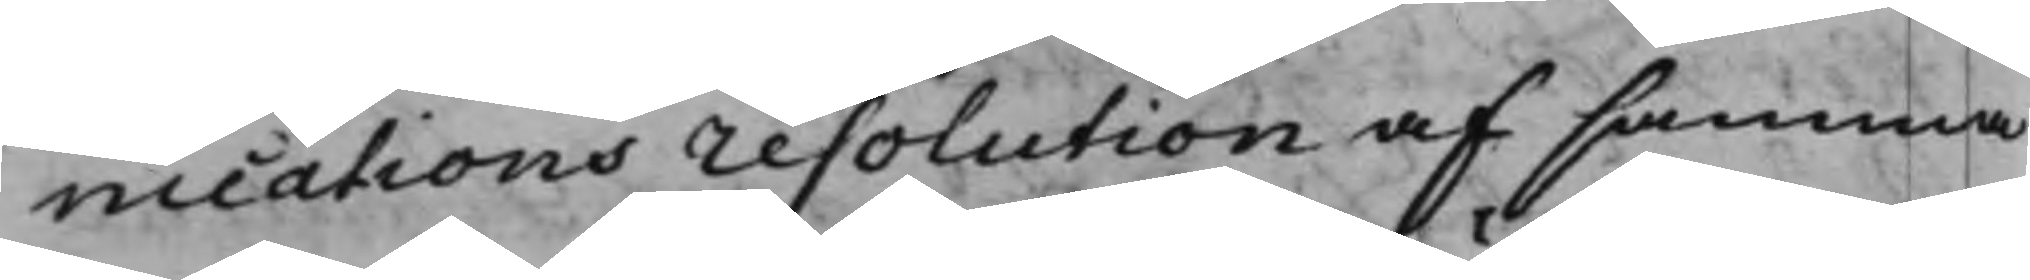nications resolution af samma
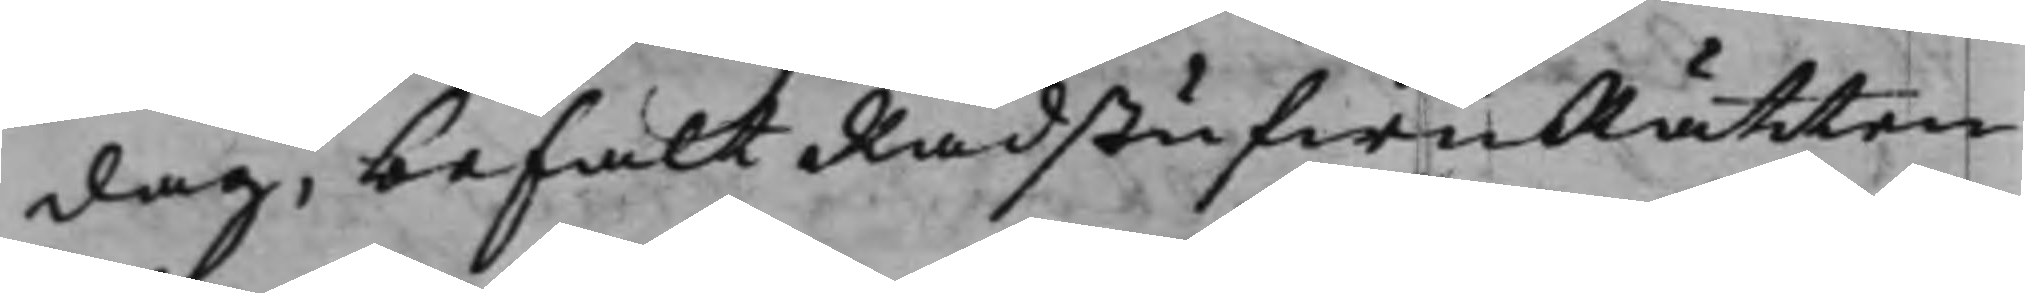dag, befalt RådstufwuRätten
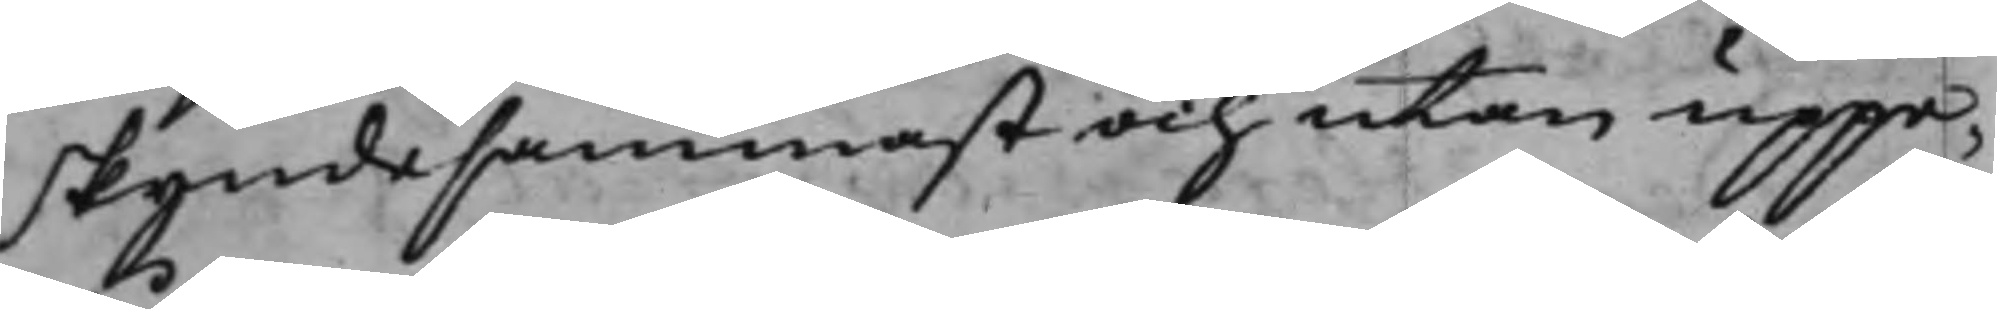skyndesammast och utan uppe¬
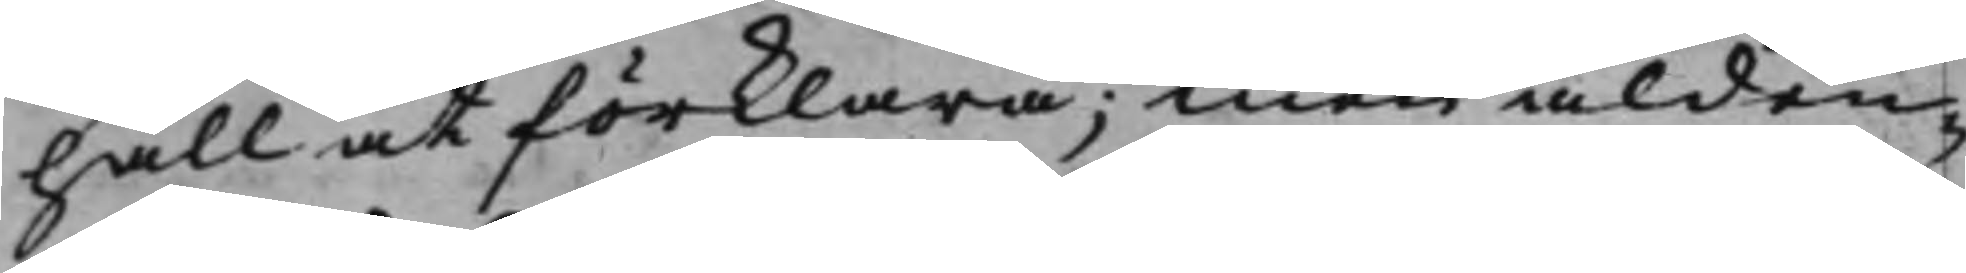håll at förklara; Men alden¬
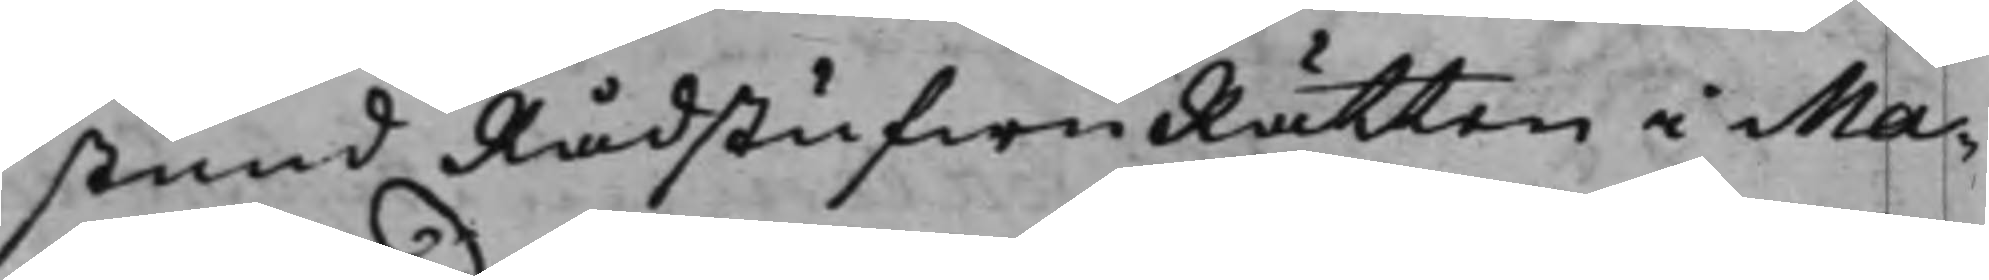stund RådstufwuRätten i Ma-
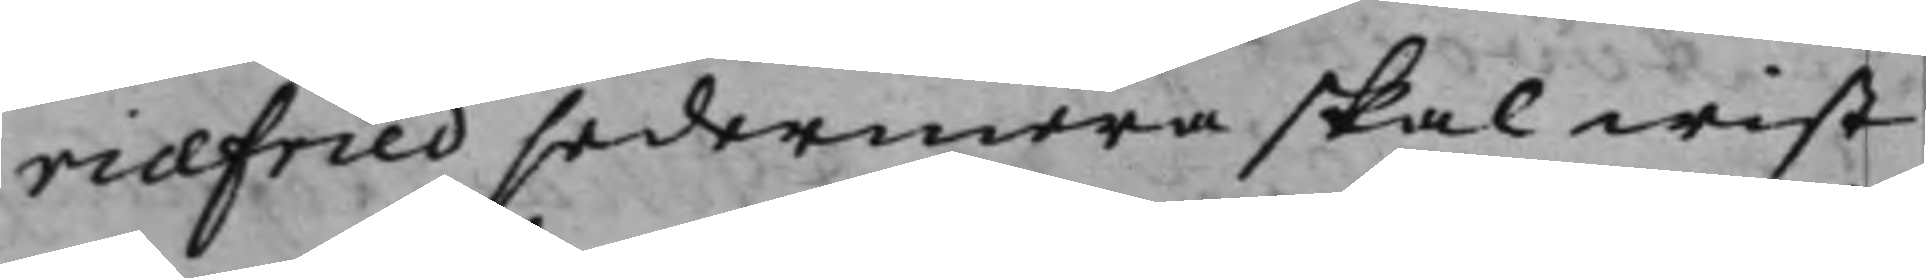riæfried sedermera skal wist
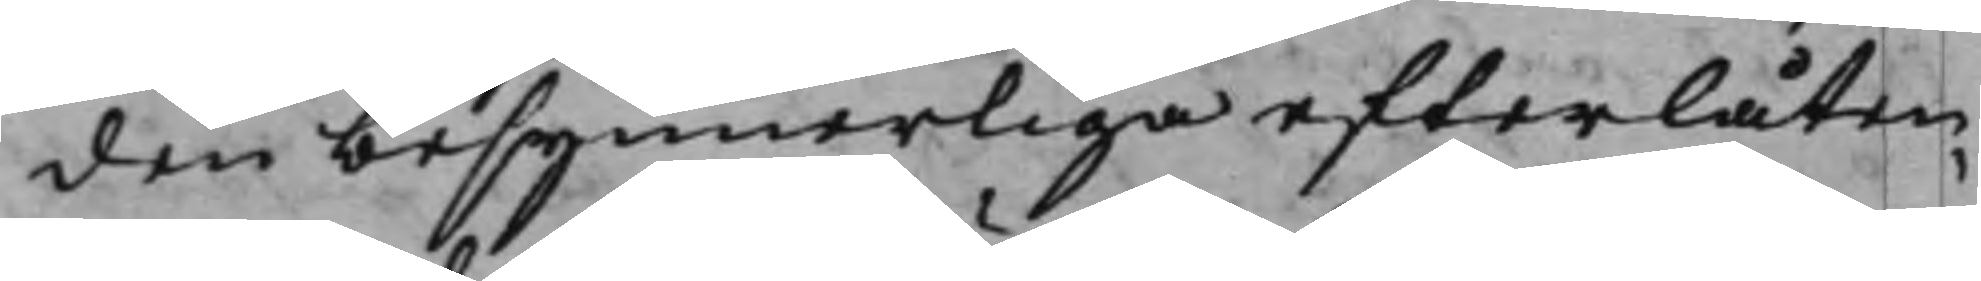den besynnerliga efterlåten¬
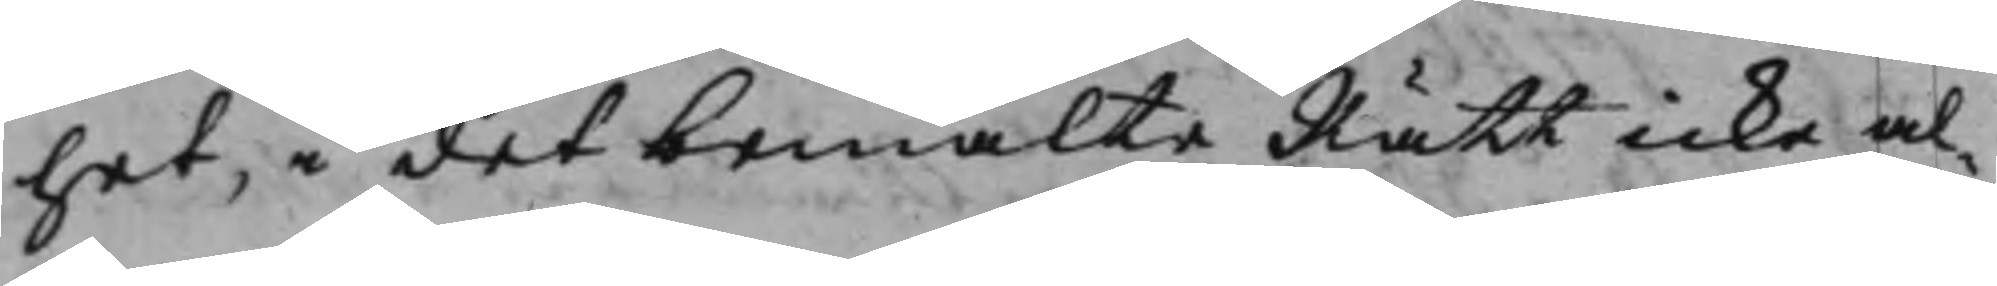het, i det bemälte Rätt icke al¬
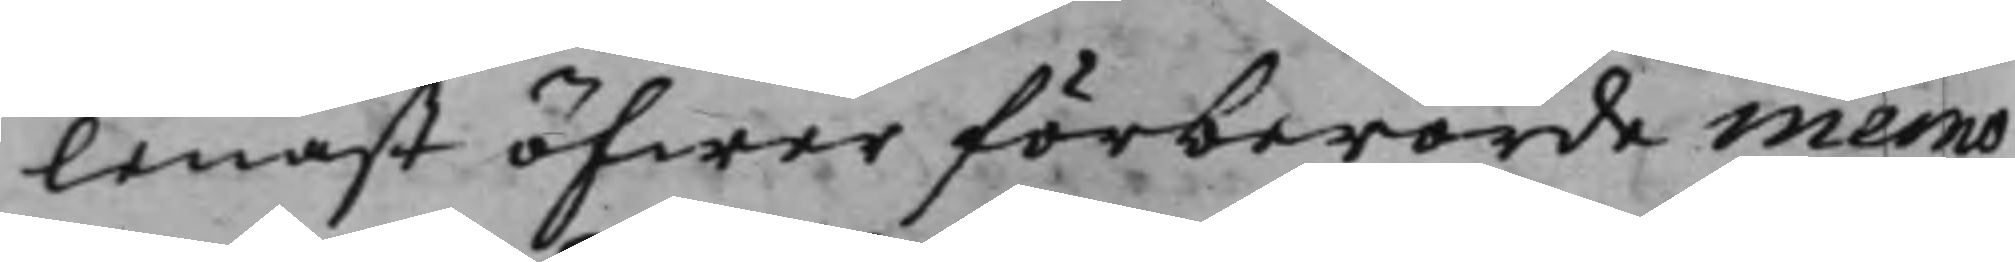lenast öfwer förberörde memo¬
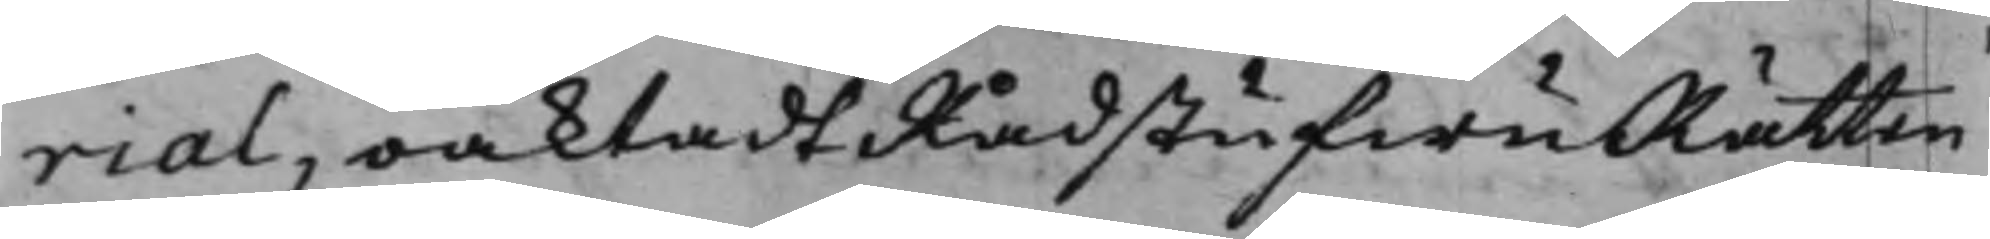rial, oaktadt RådstufwuRätten
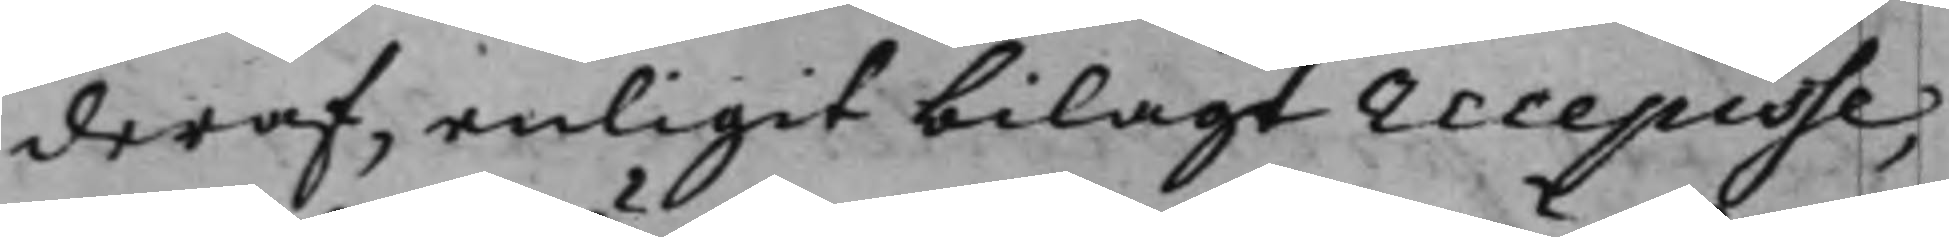deraf, enligit bilagt recepisse,
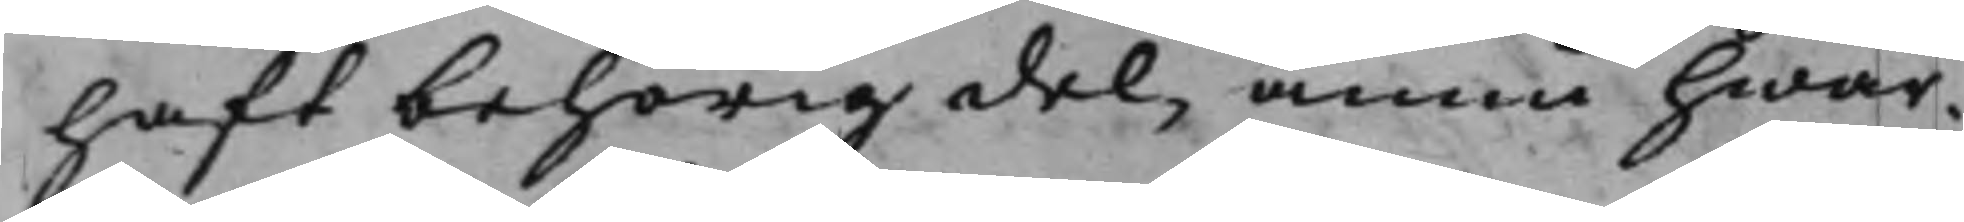haft behörig del, ännu hwar¬
